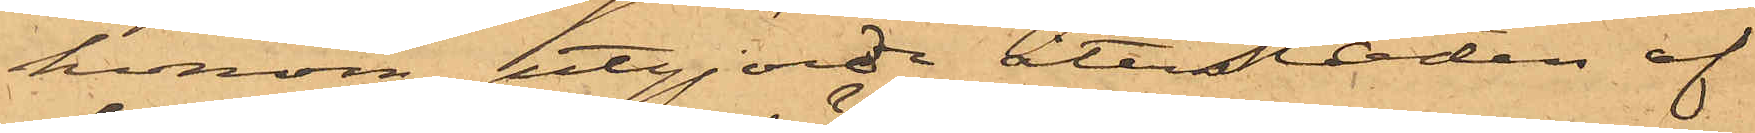honom, utgjorde återstoden af
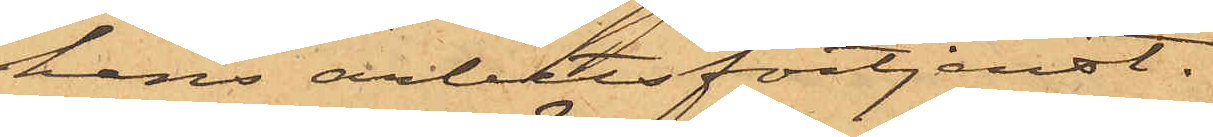hans arbetsförtjenst.
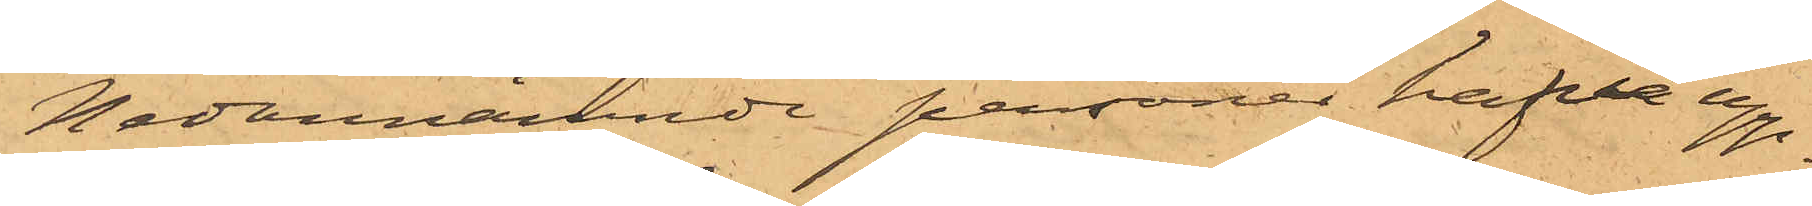Nedannämnde personer hafva upp¬
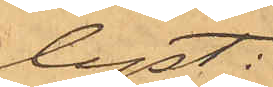lyst:
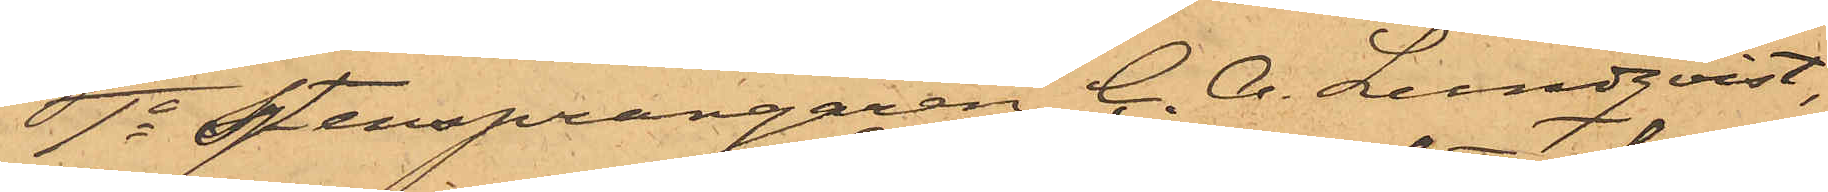1o Stensprängaren C. A. Lundqvist,
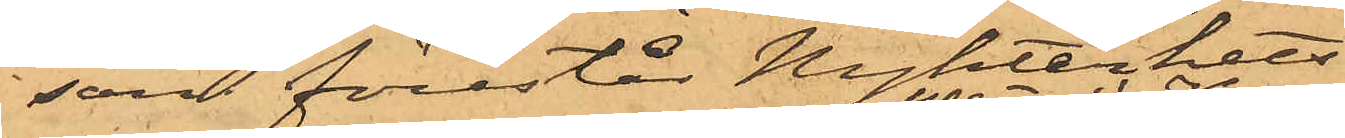som förestår Nykterhets¬
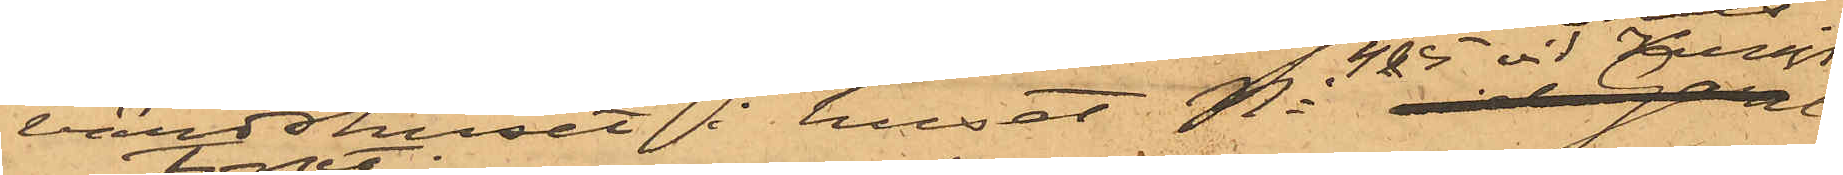värdshuset i huset No 4 & 5 vid Jern¬
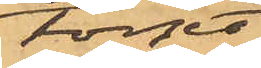torget,
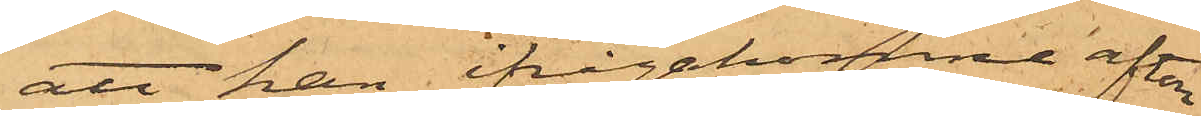att han ifrågakomne afton
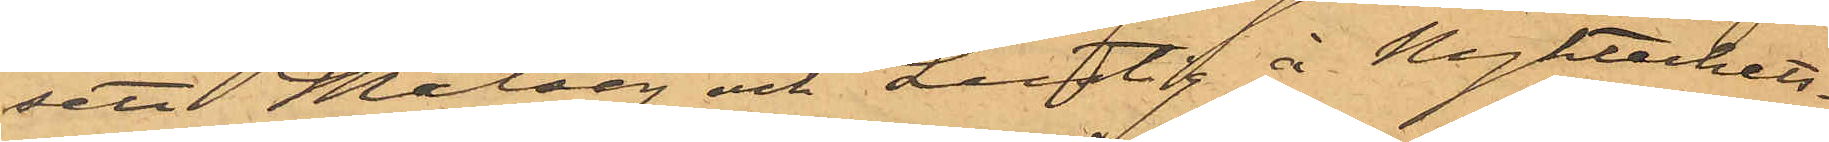sett Målseg och Lustig å Nykterhets¬
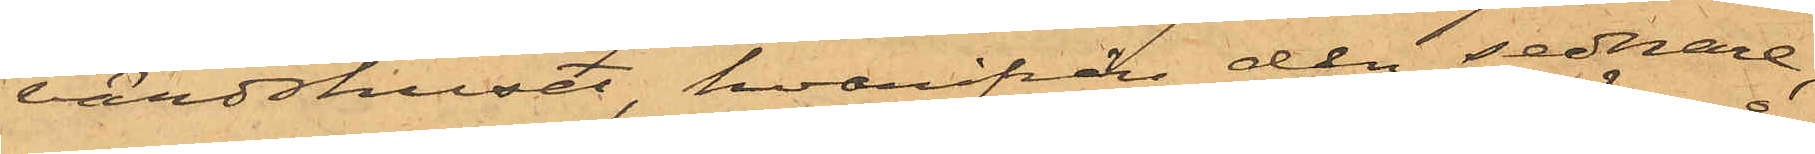värdshuset, hvarifrån den sednare,
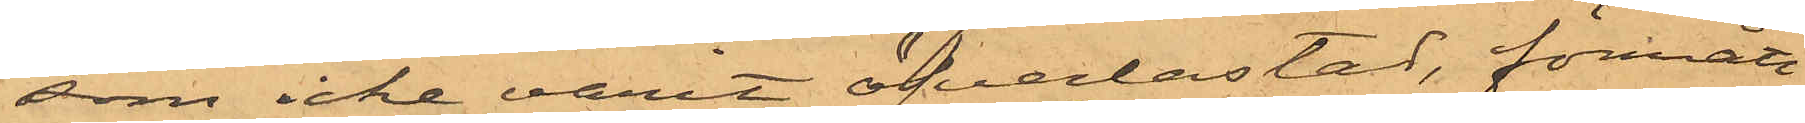som icke varit öfverlastad, förmått
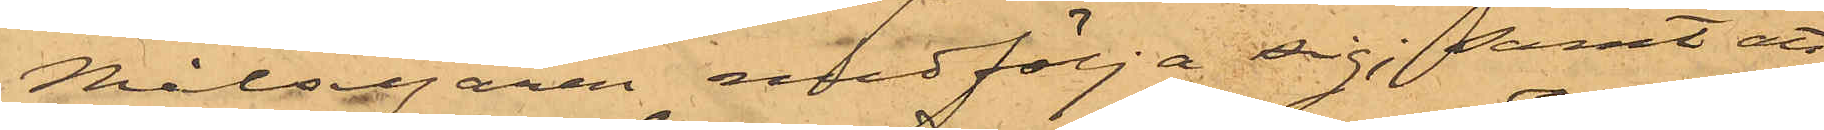Målsegaren medfölja sig; samt att
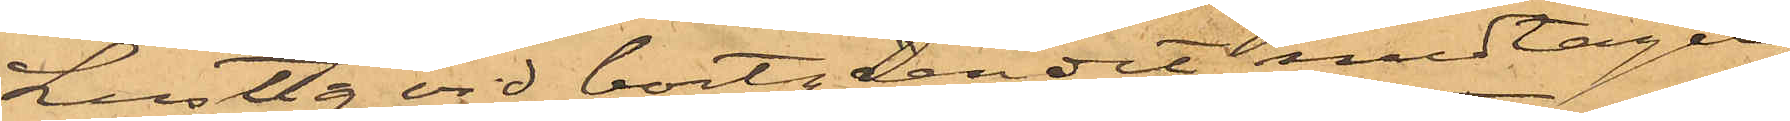Lustig vid bortgåendet medtagit
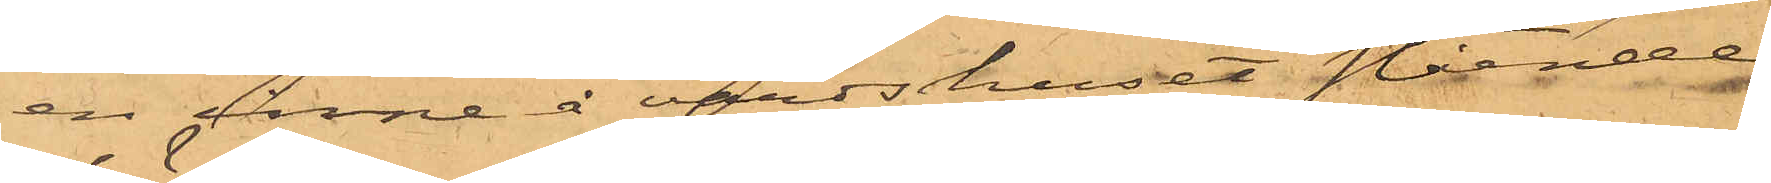en inne å värdshuset stående
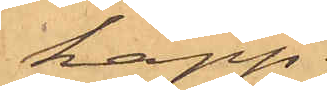käpp;
